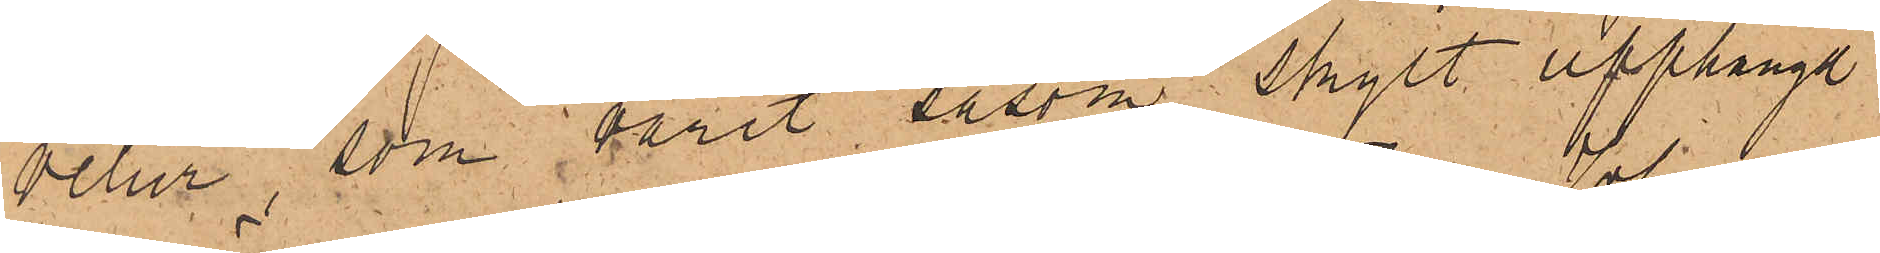velur, som varit såsom skylt upphängd
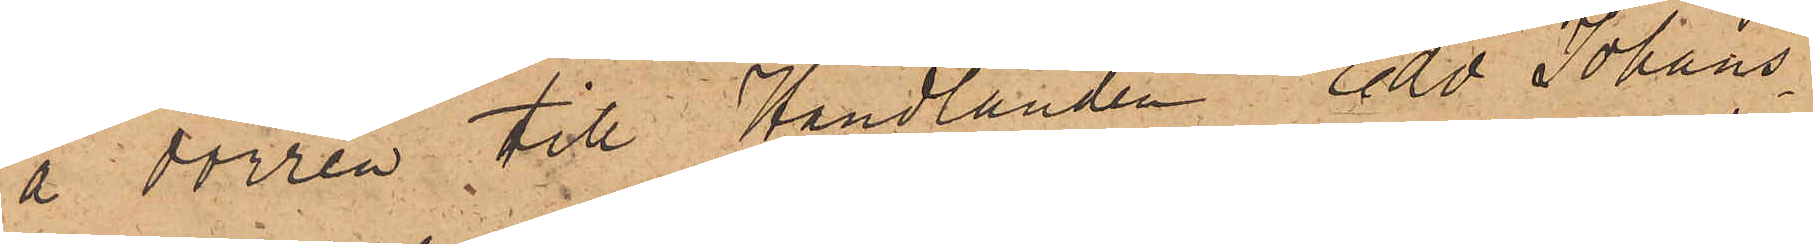å dörren till Handlanden Edv. Johans¬
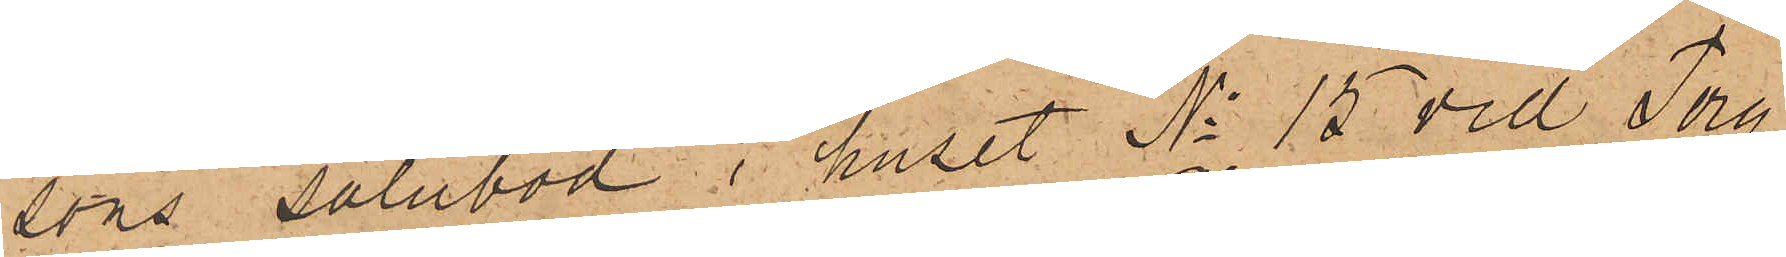sons salubod i huset No 15 vid Torg¬
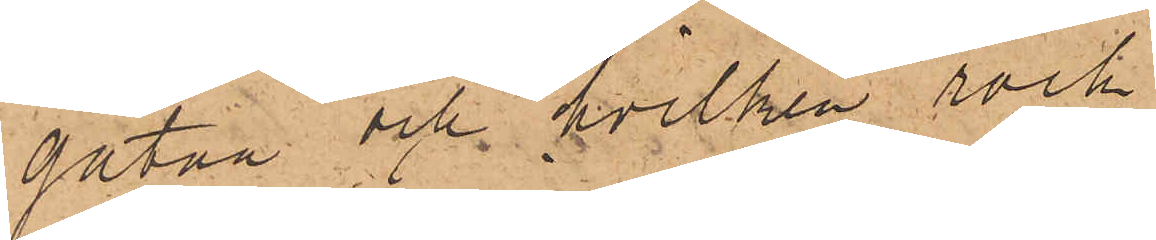gatan och hvilken rock
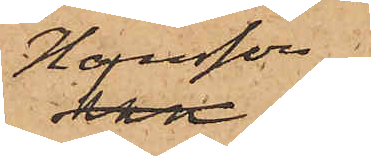Hansson
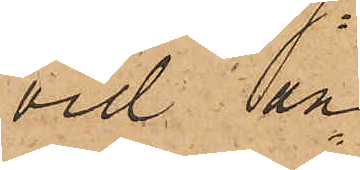vid an¬
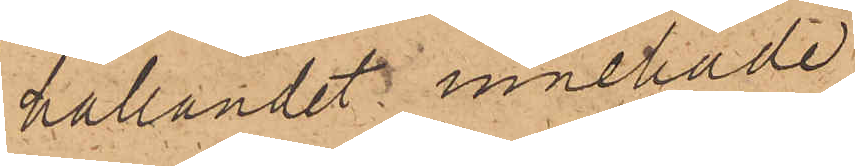hållandet innehade.
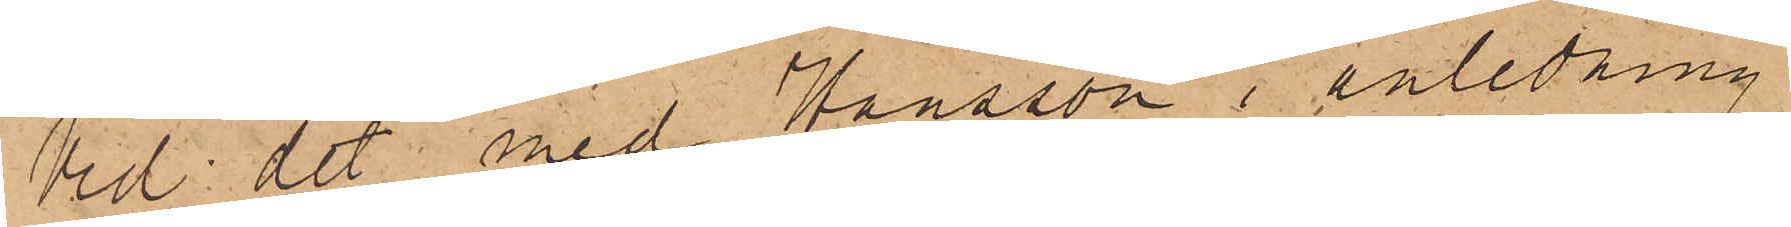Vid det med Hansson i anledning
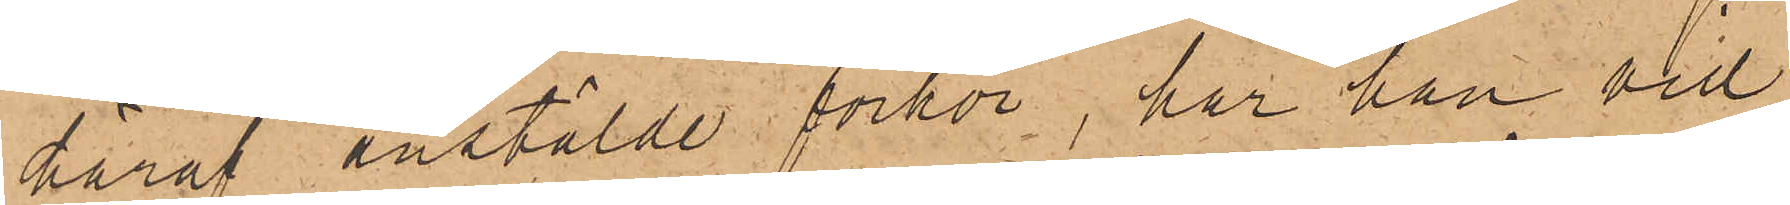häraf anstälde förhör, har han vid¬
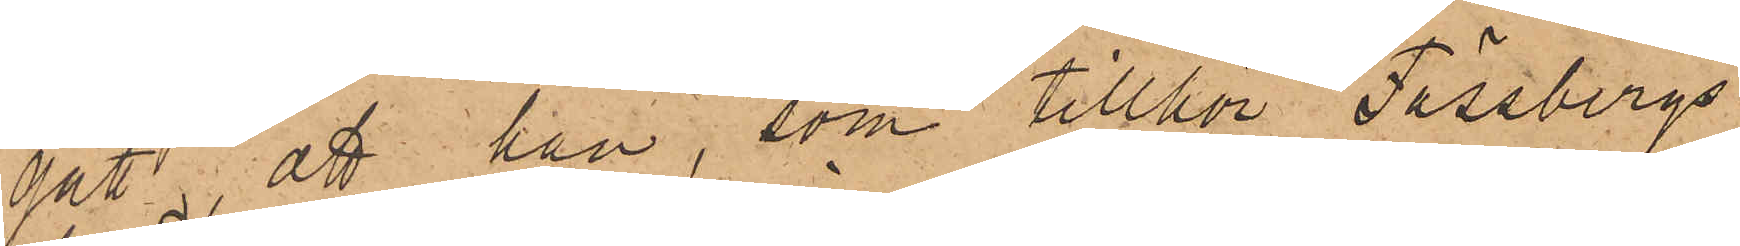gått, att han, som tillhör Fässbergs
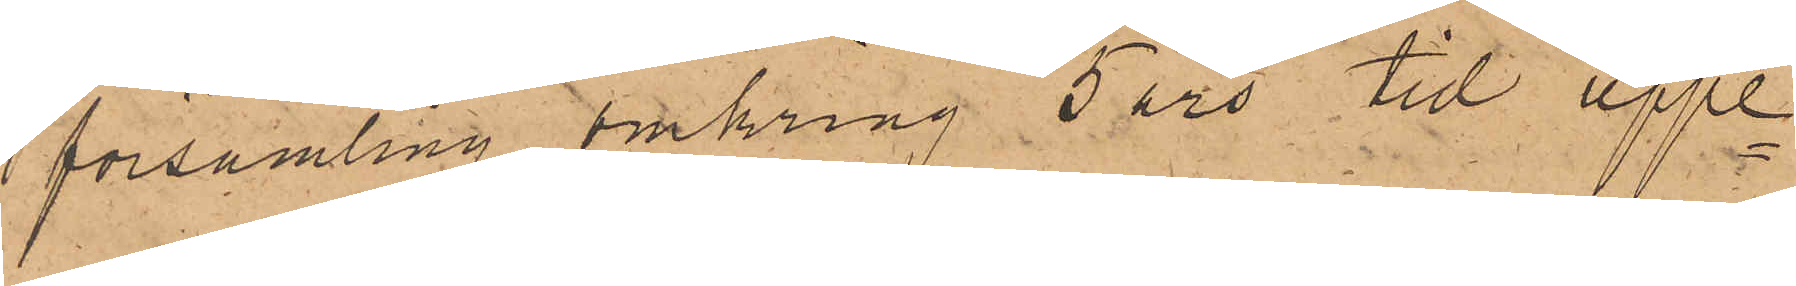församling, omkring 5 års tid uppe¬
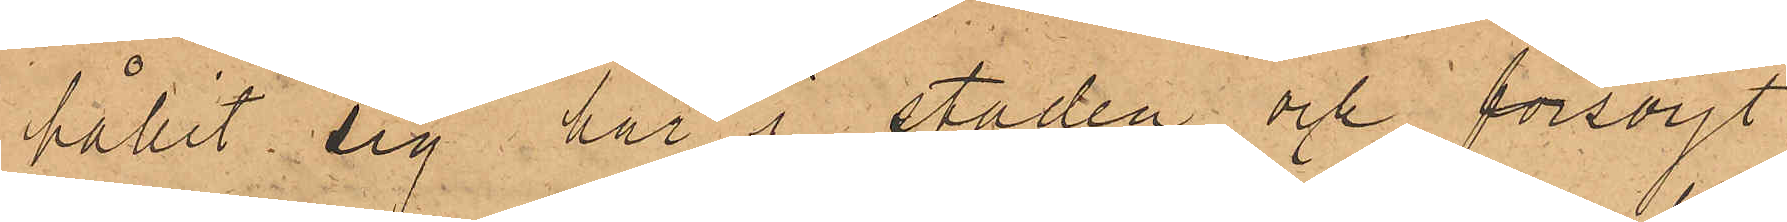hållit sig här i staden och försörjt
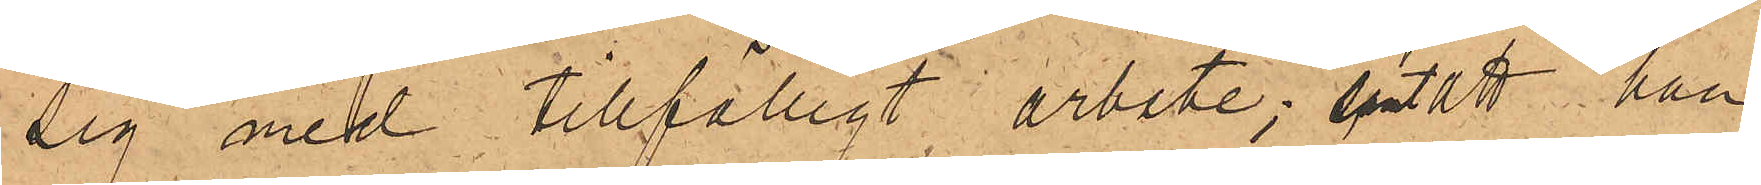sig med tillfälligt arbete; samt att han
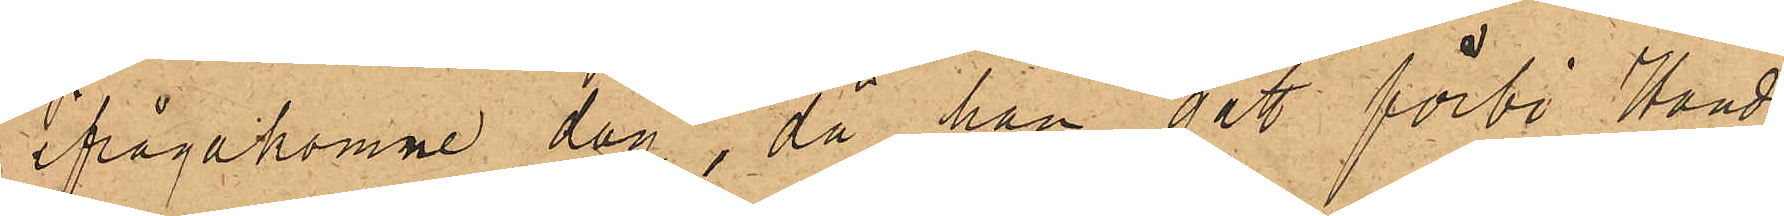ifrågakomne dag, då han gått förbi Hand¬
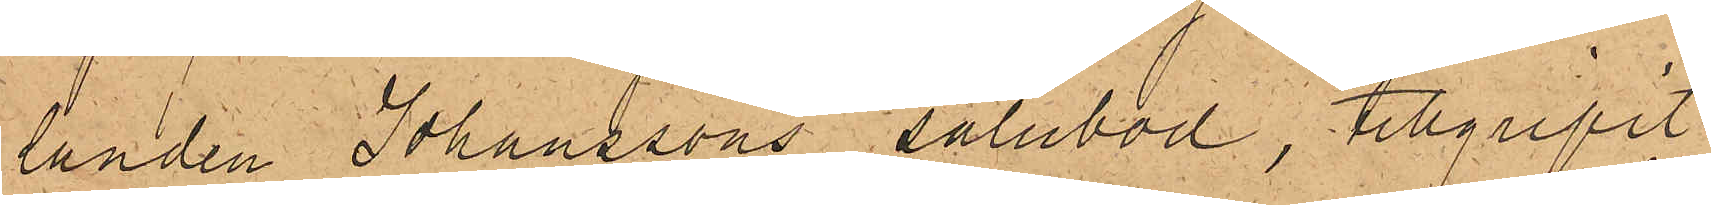landen Johanssons salubod, tillgripit
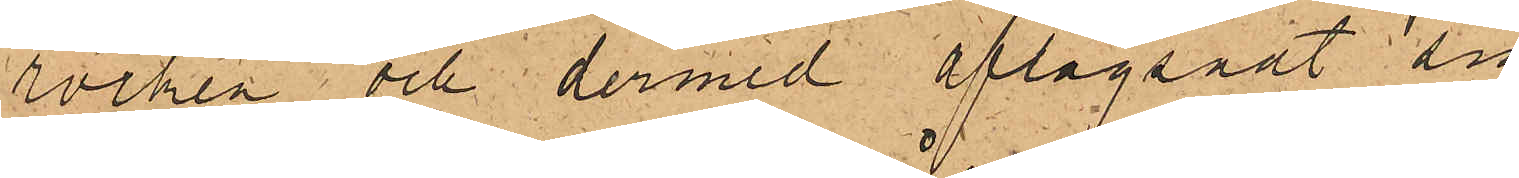rocken och dermed aflägsnadt sig
